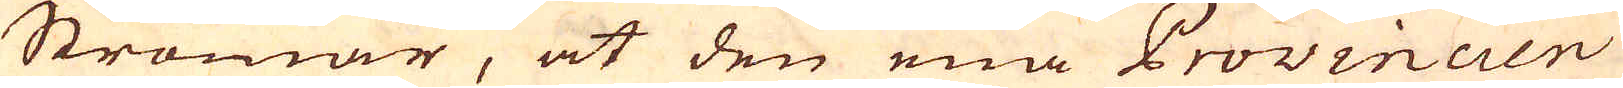Strömar, at den ena Provincien
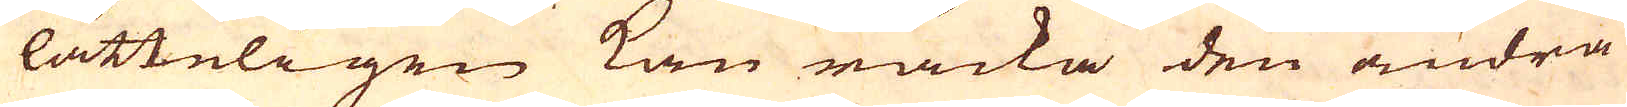lätteligen kan räcka den andra
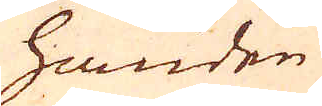handen
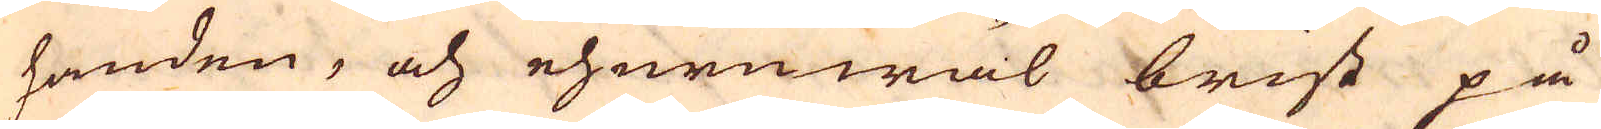handen, och ehuruwäl brist på
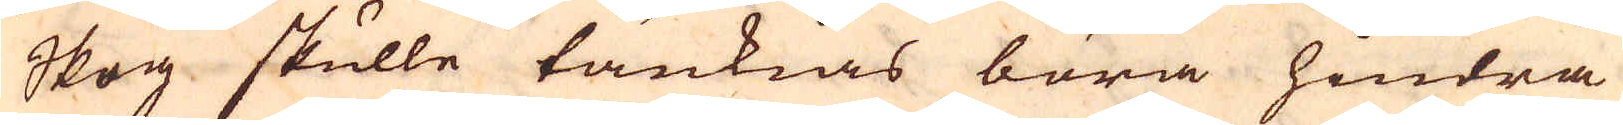Skog skulle tänkias böra hindra
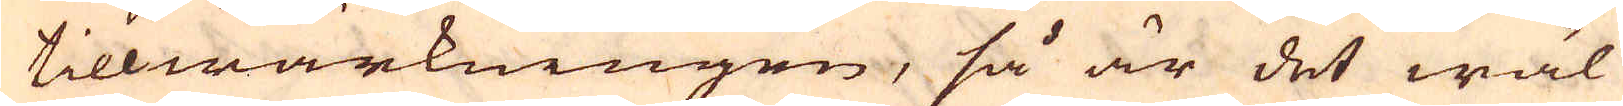tillwärkningen, så är det wäl
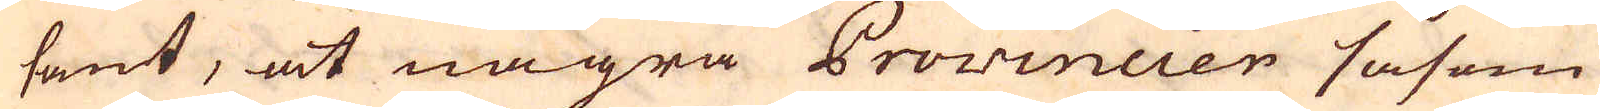sant, at några Provincier såsom
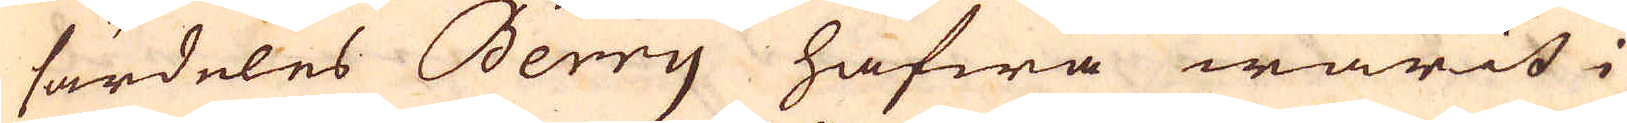särdeles Berry hafwa warit i
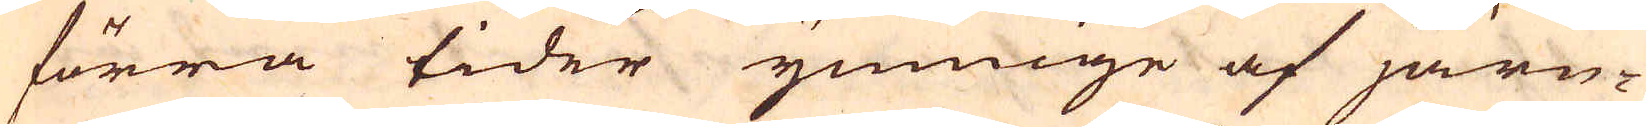förra tider ymnige af järn-
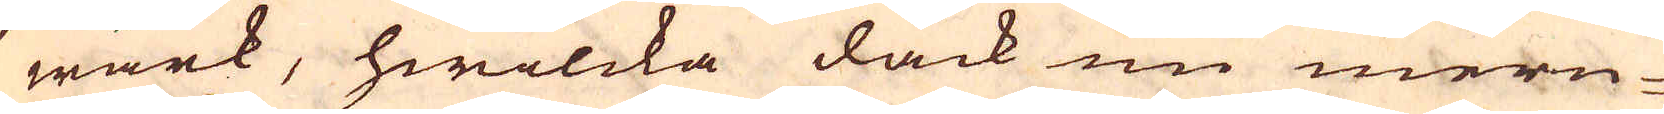wärk, hwilcka dåck nu mern-
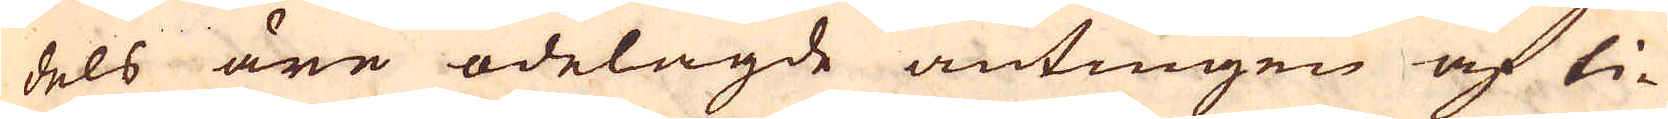dels äre ödelagde antingen af ti-
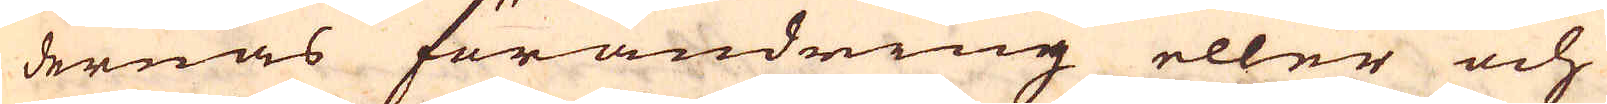dernas förändring eller och
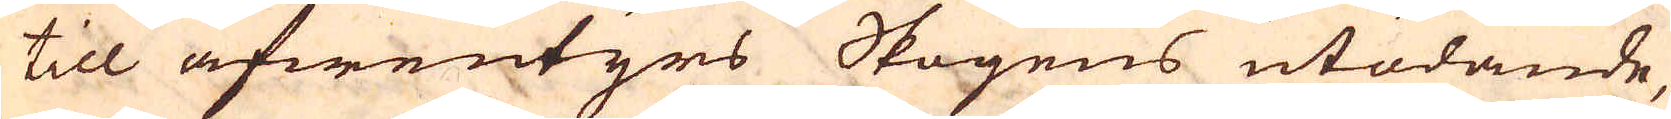till äfwentyrs Skogens utödande,
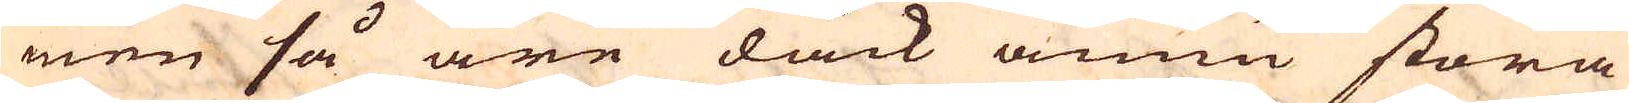men så äre dåck ännu stora
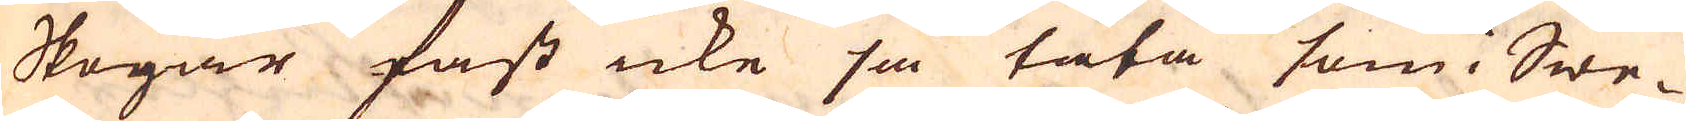Skogar fast icke så täta som i Swe-
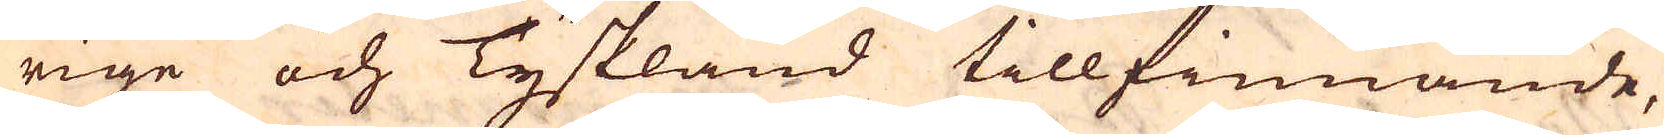rige och Tyskland tillfinnande,
